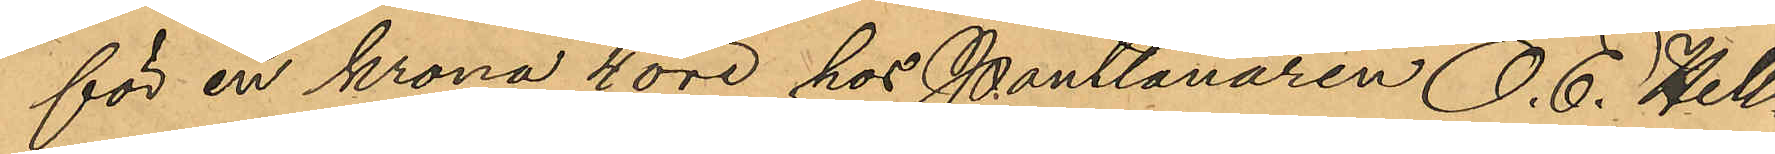för en krona 4 öre hos Pantlånaren O. E. Hell¬
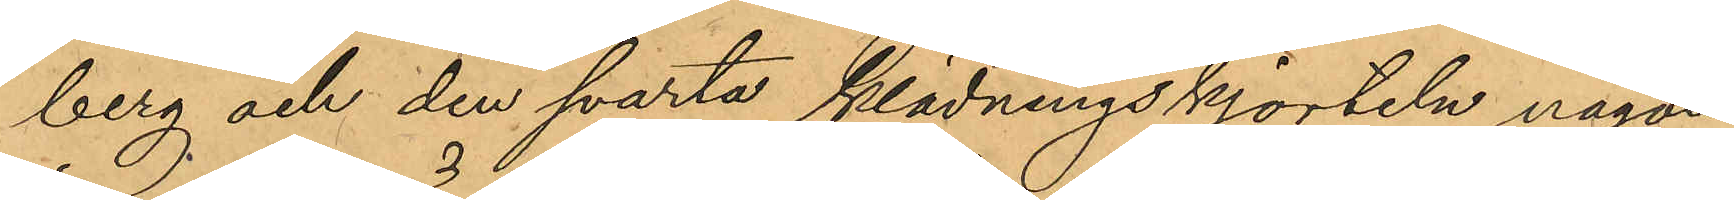berg och den svarta klädningskjorteln någon
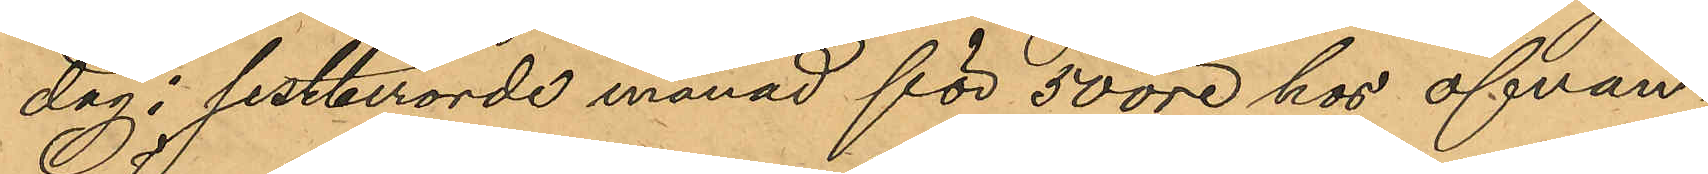dag i sistberörde månad för 50 öre hos ofvan¬
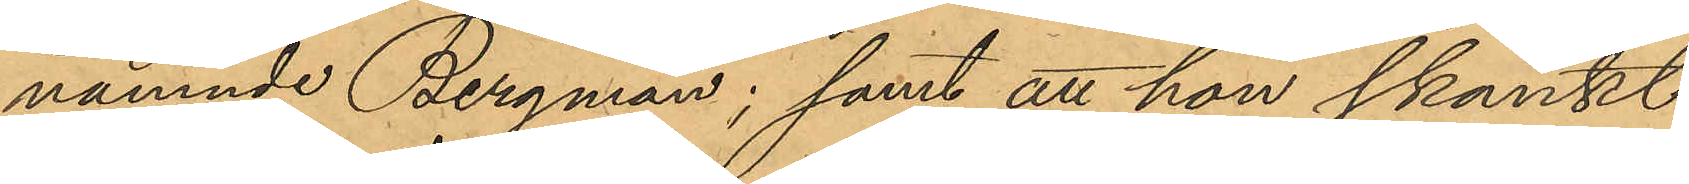nämnde Bergman; samt att hon skänkt
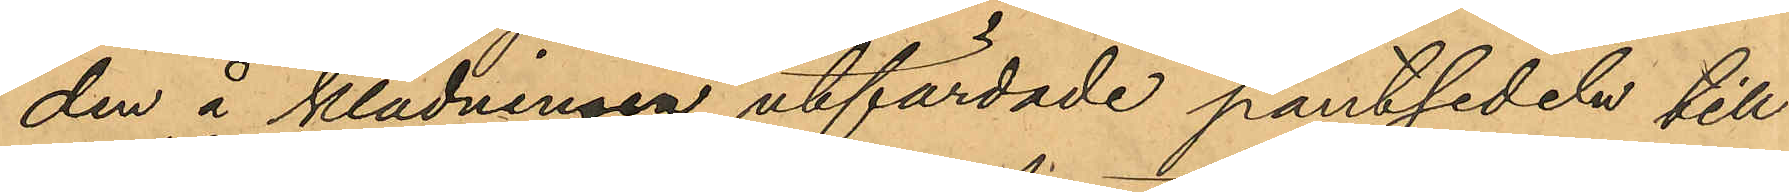den å klädningen utfärdade pantsedeln till
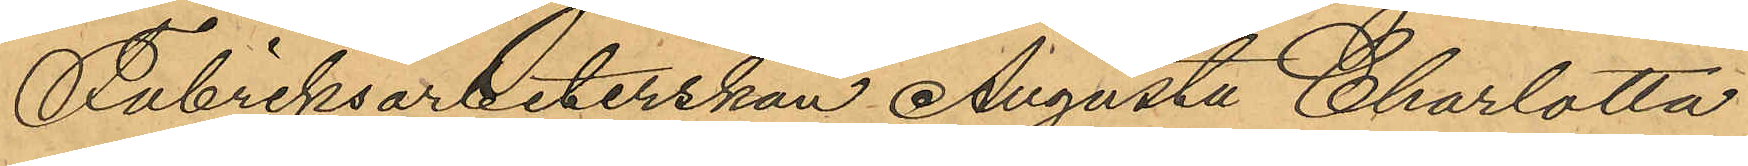Fabriksarbeterskan Augusta Charlotta
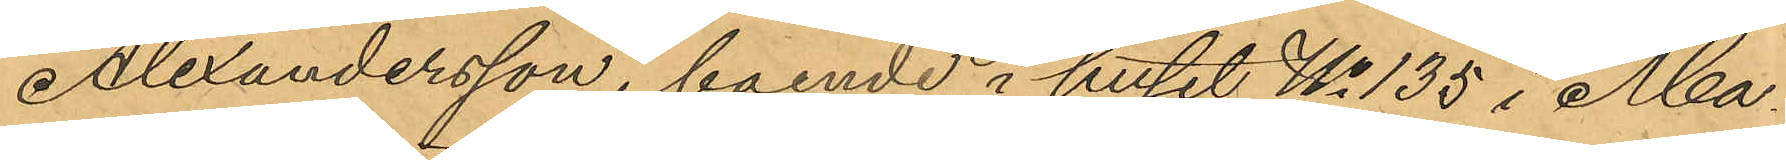Alexandersson, boende i huset No 135 i Ma¬
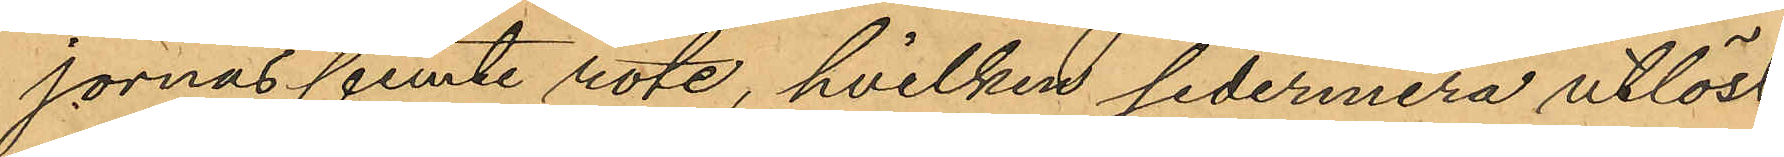jornas femte rote, hvilken sedermera utlöst
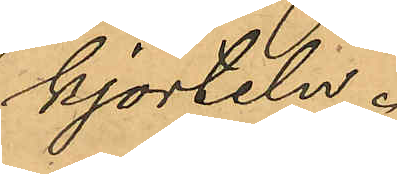kjorteln.
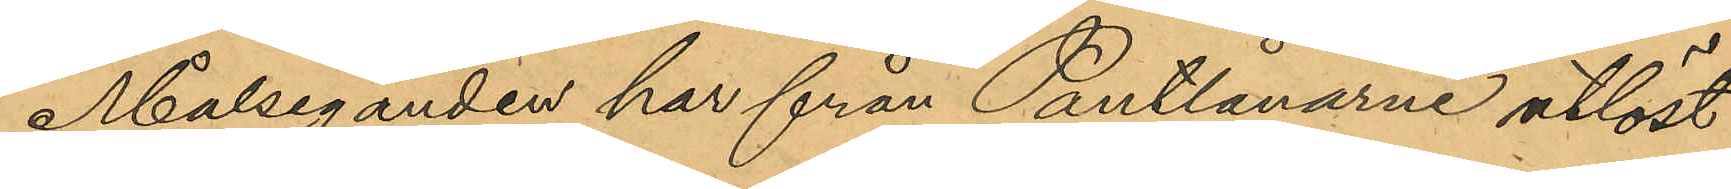Målseganden har från Pantlånarne utlöst
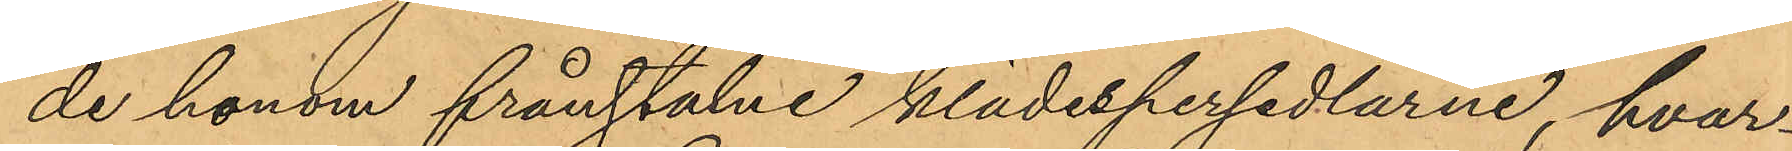de honom frånstulne klädespersedlarne, hvar¬
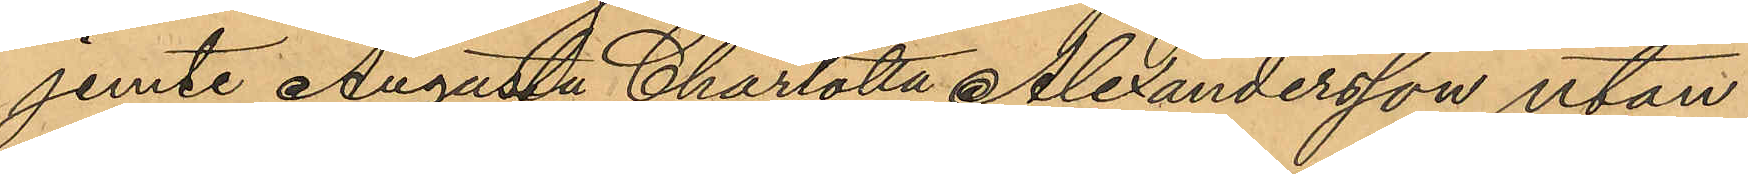jemte Augusta Charlotta Alexandersson utan
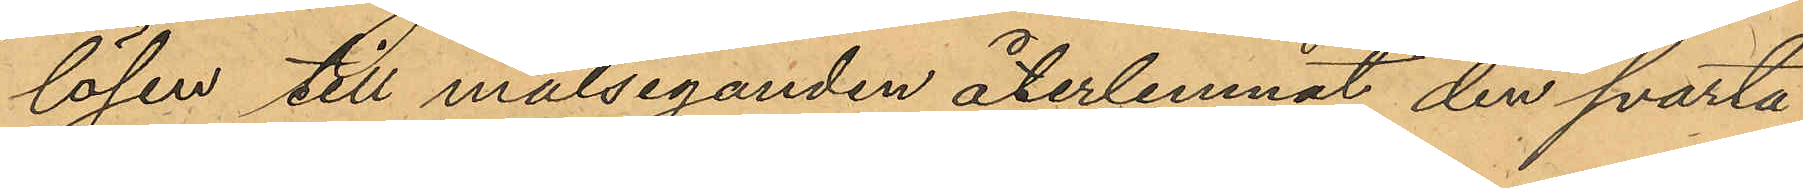lösen till målseganden återlemnat den svarta
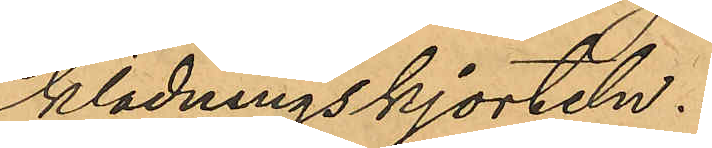klädningskjorteln.
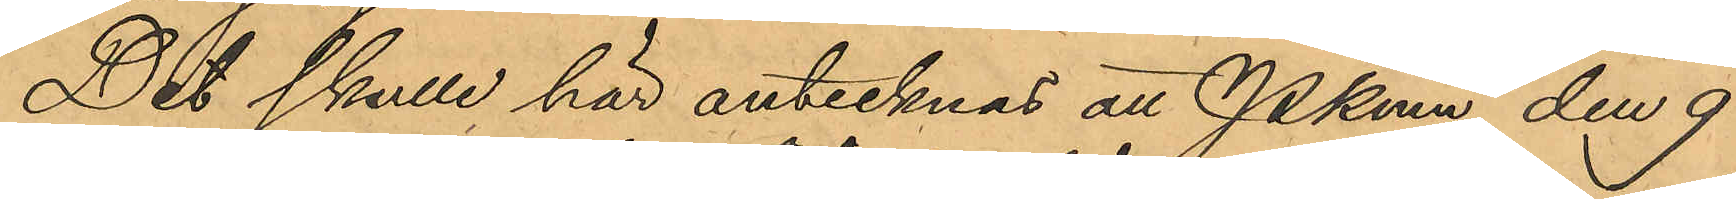Det skulle här antecknat att Pkmn den 9
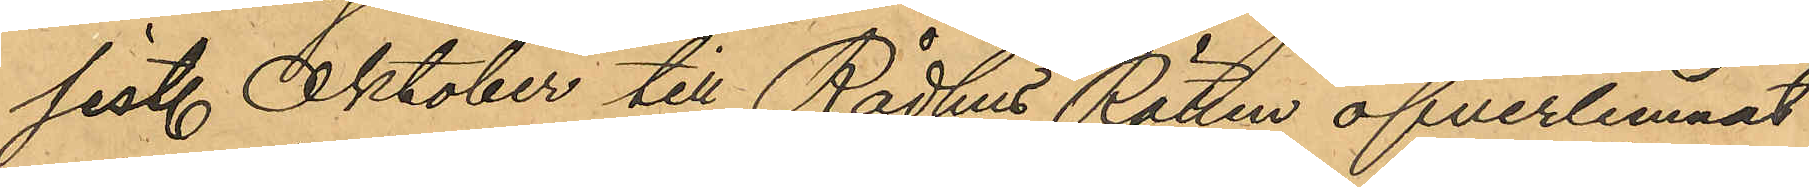sist. Oktober till Rådhus Rätten öfverlemnat
